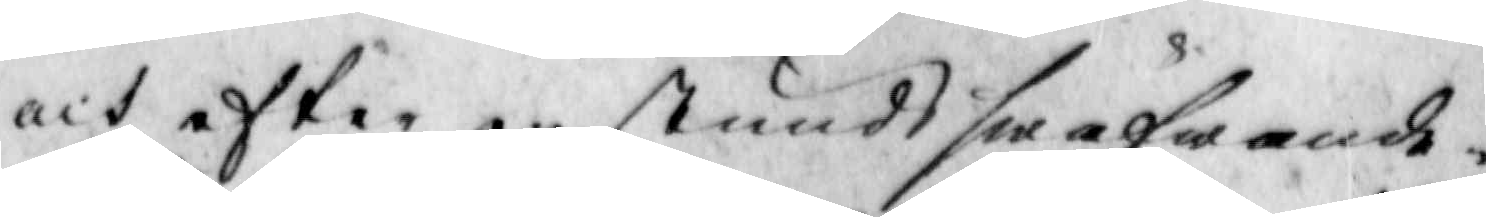och efter en stunds swäfwande i
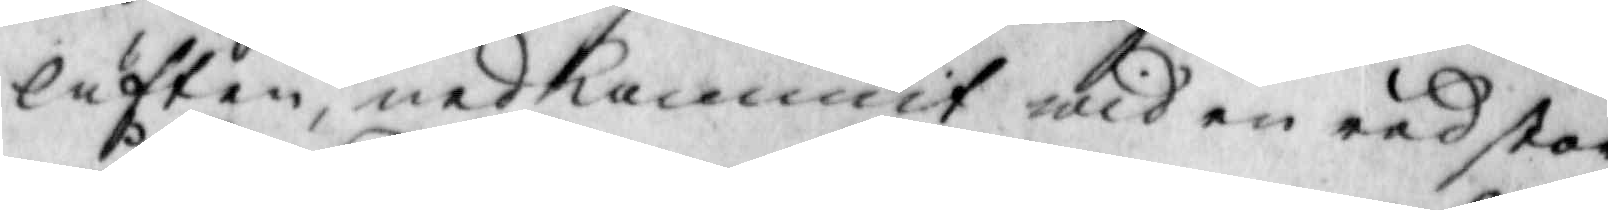luften, nedkommit wid en red stor
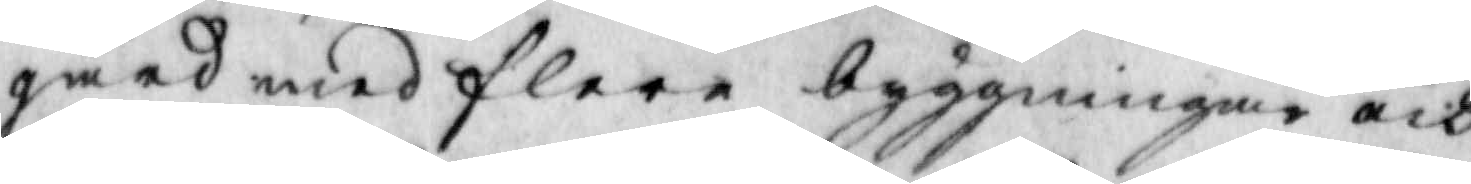gård med flere byggningar och
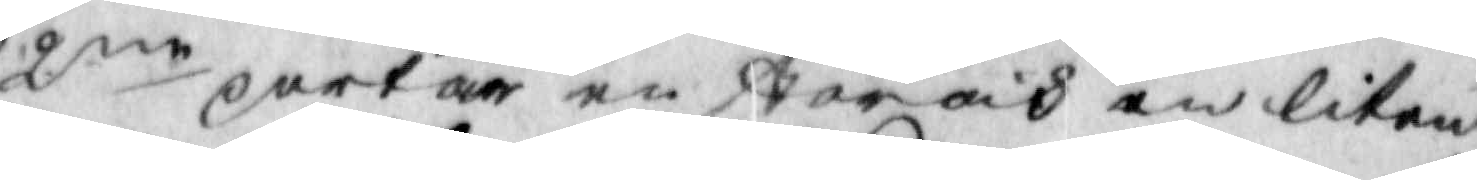2ne portar en stor och en liten
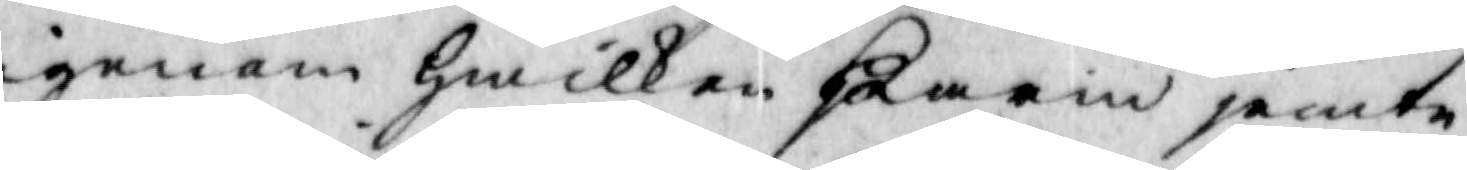igenom hwilken Karin jemte
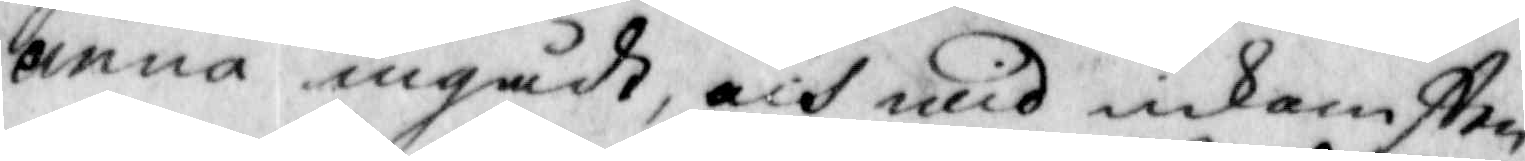Anna ingådt, och wid inkomsten
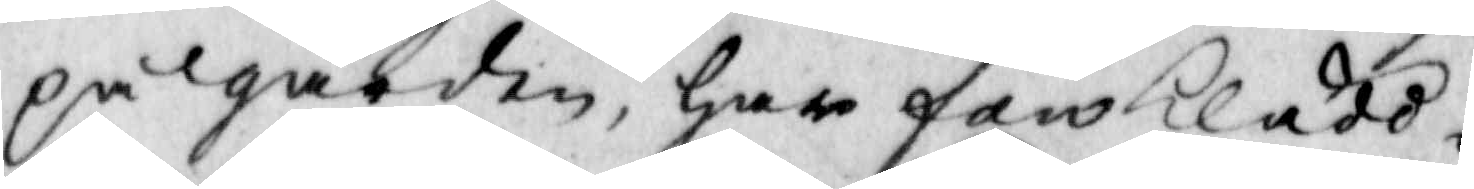på gården, har fan Klädd i
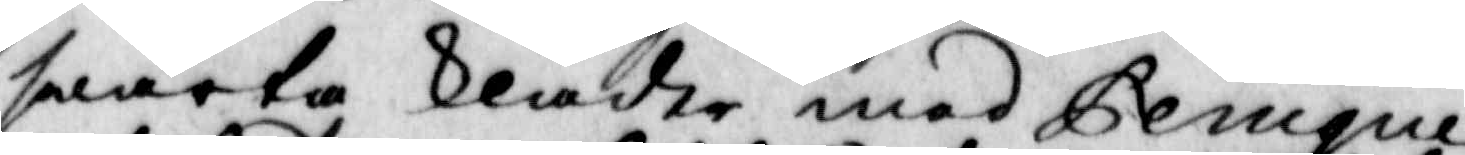swarta kläder med Gemque
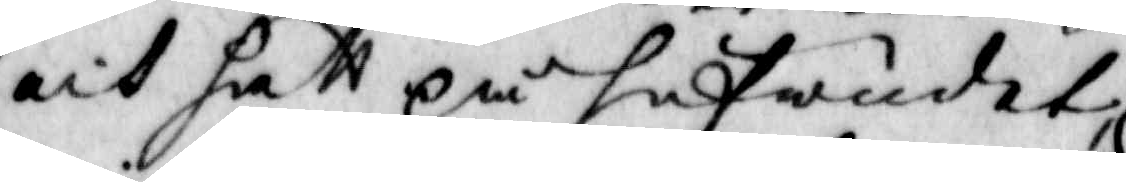och hat på hufwudet
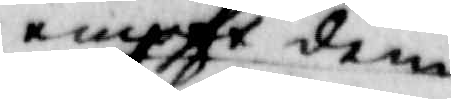emot dem
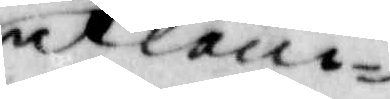utkom¬
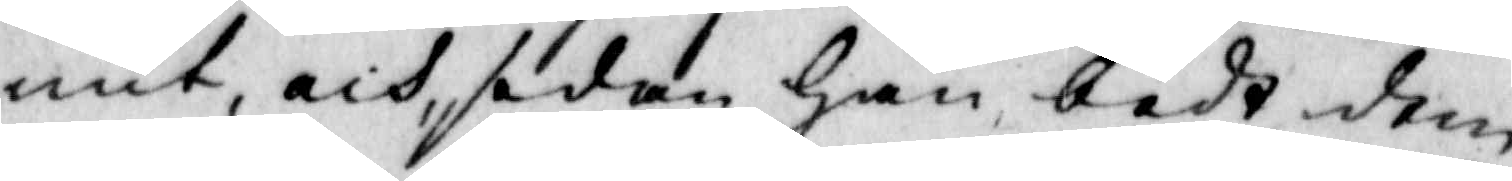mit, och sedan han bedt dem
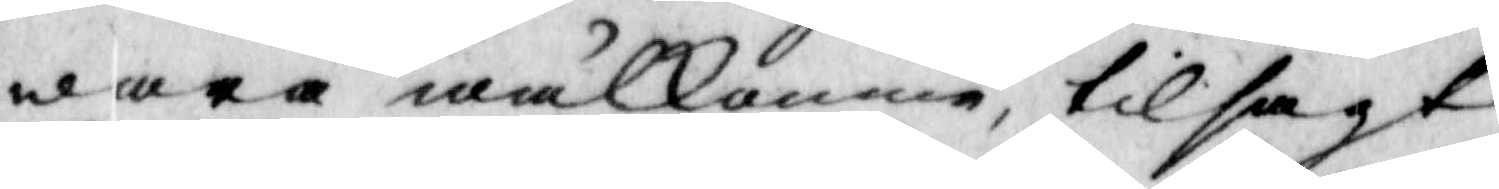wara wälkomna, tilsagt
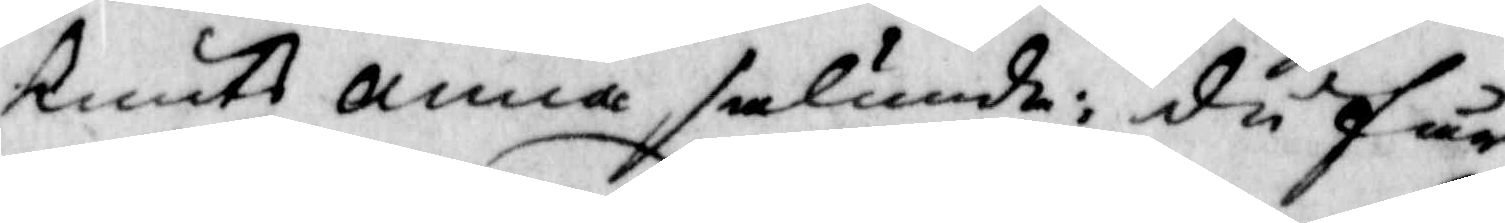Knuts Anna sålunda: du får
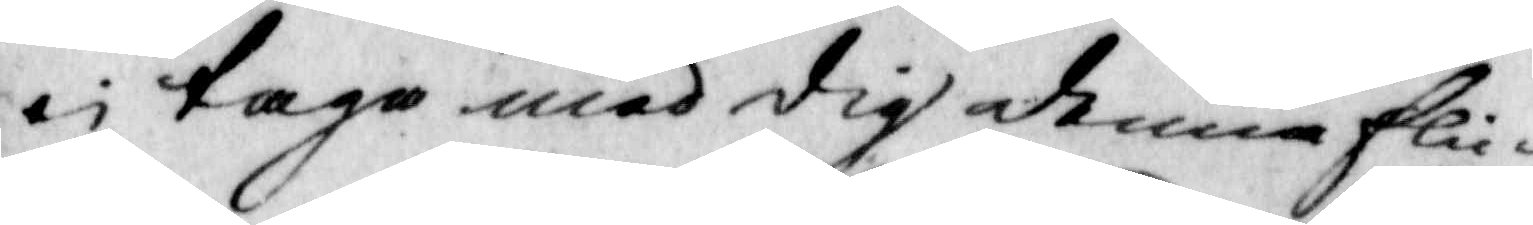ej taga med dig denna flic¬
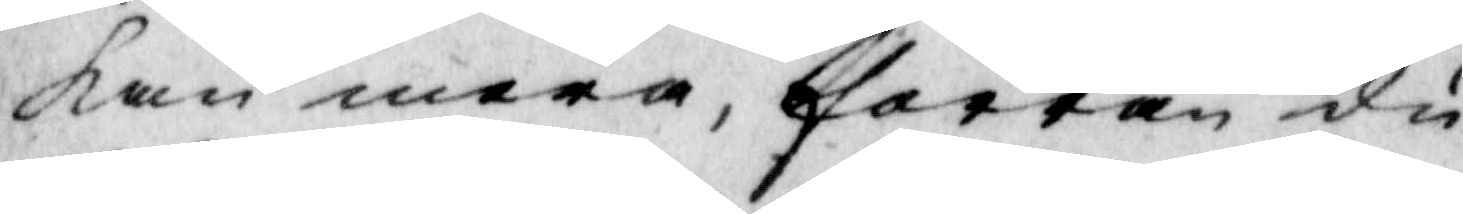kan meda, förrän du
